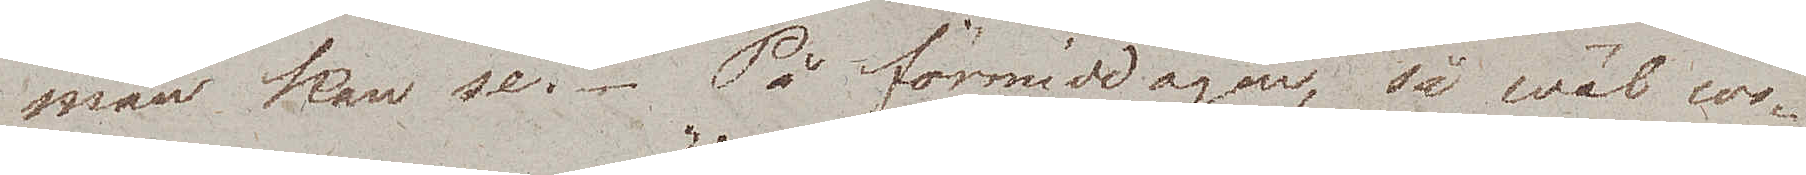man kan se. På förmiddagen, så wäl cos¬
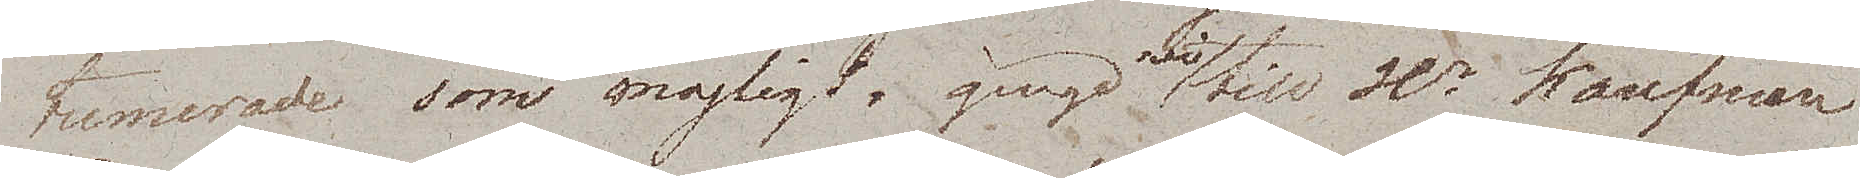tumerade som möjligt, gingo wi till Hr Kaufman
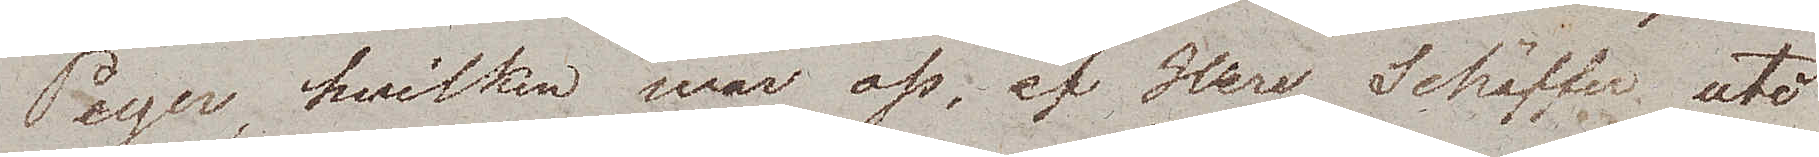Peyer, hvilken war oss af Herr Schäffer uti
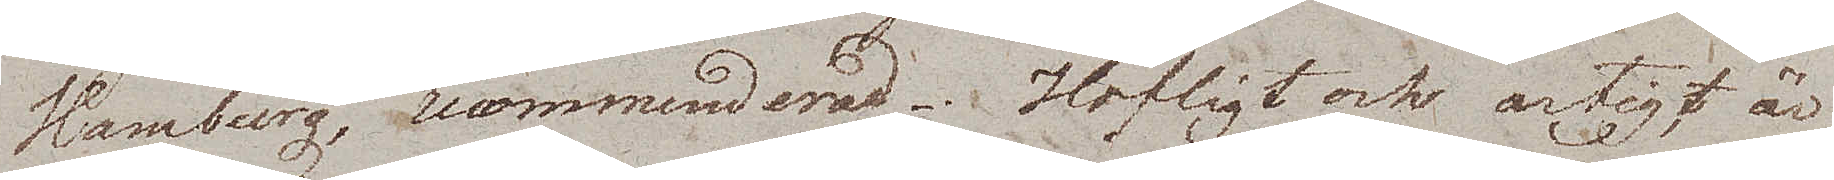Hamburg, recommenderad. Höfligt och artigt är¬
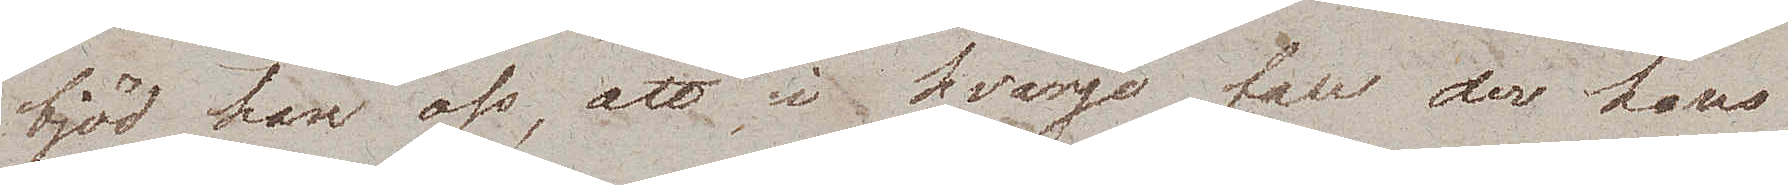bjöd han oss, att i hvarje fall der hans
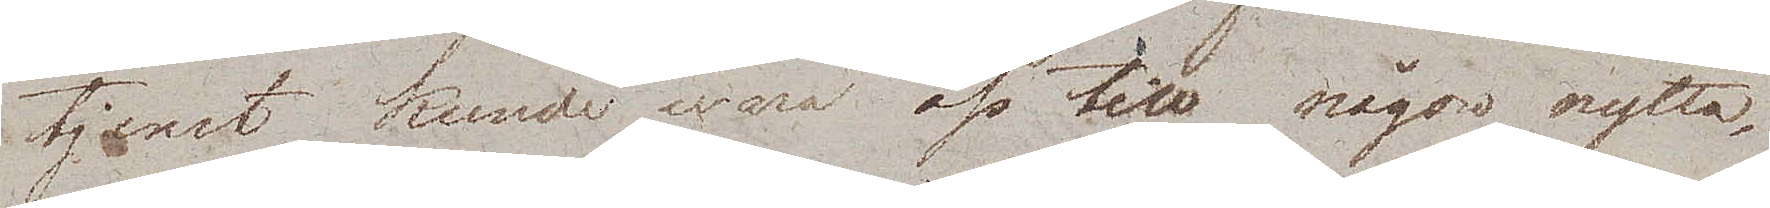tjenst kunde wara oss till någon nytta,
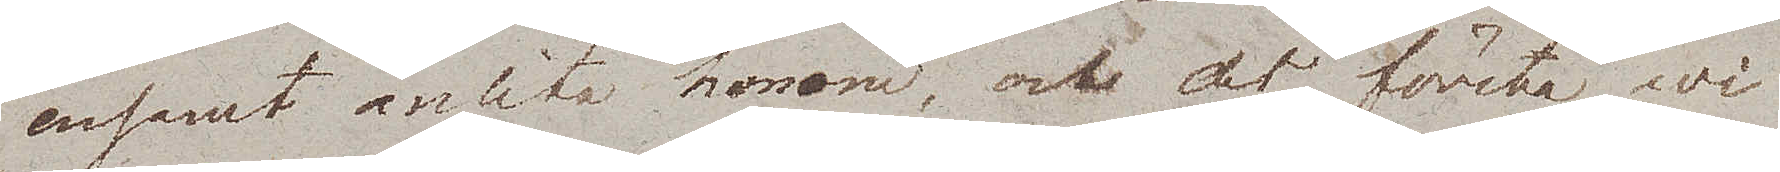ensamt anlita honom, och det första wi
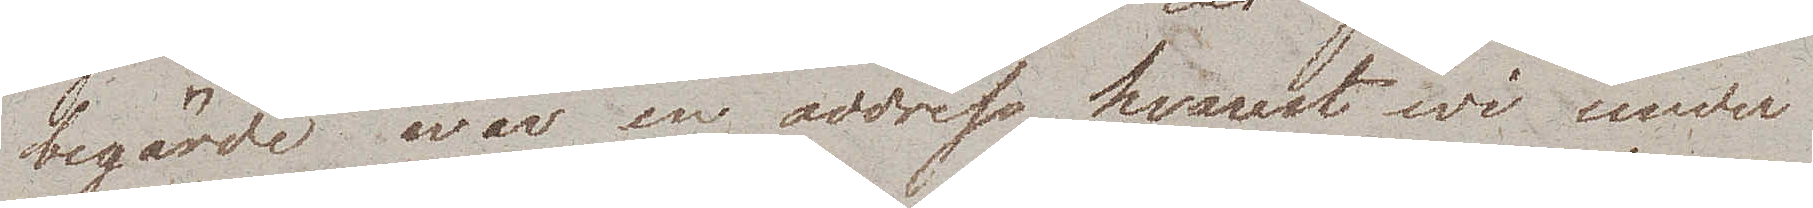begärde war en address hvarest wi under
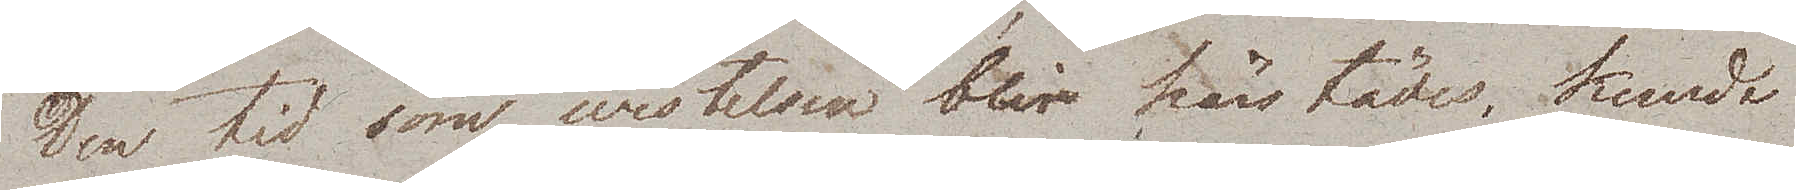den tid som wistelsen blir härstädes, kunde
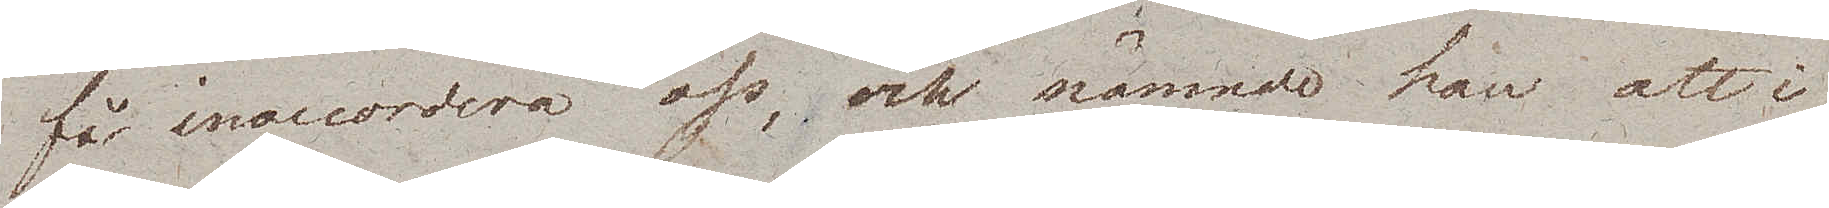få inaccordera oss, och nämnde han att i
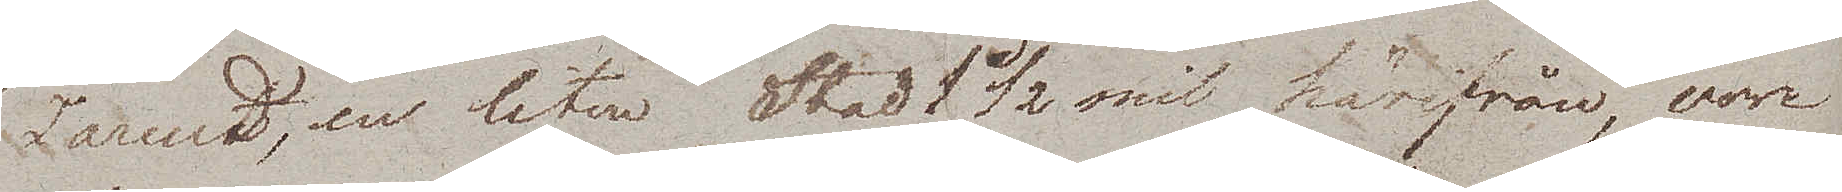Tarandt, en liten Stad 1 ½ mil härifrån, vore
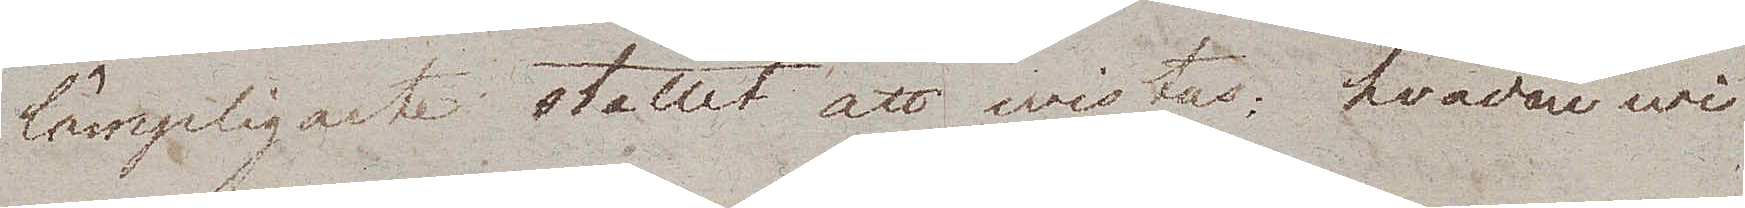lämpligaste stället att wistas, hvadan wi
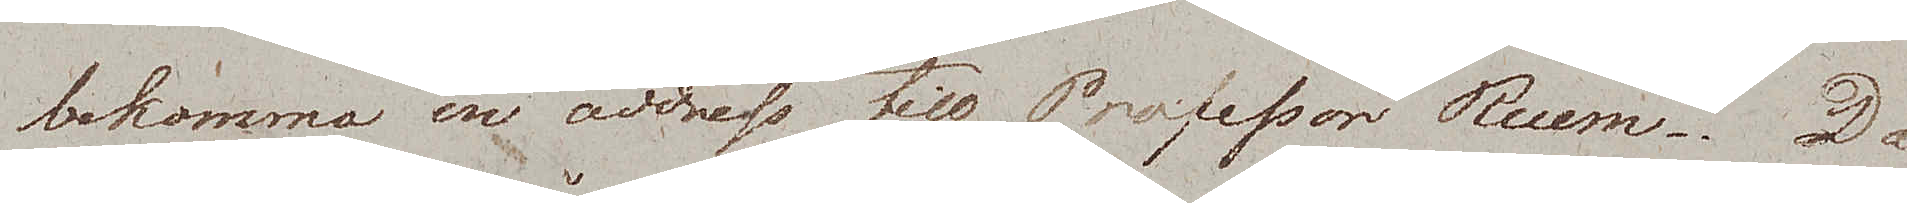bekommo en address till Professor Ruem. Då
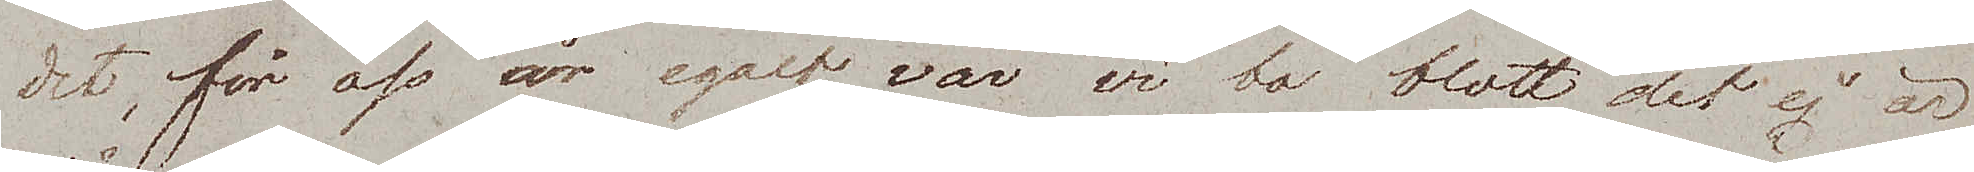det, för oss är egalt, var vi bo blott det ej är
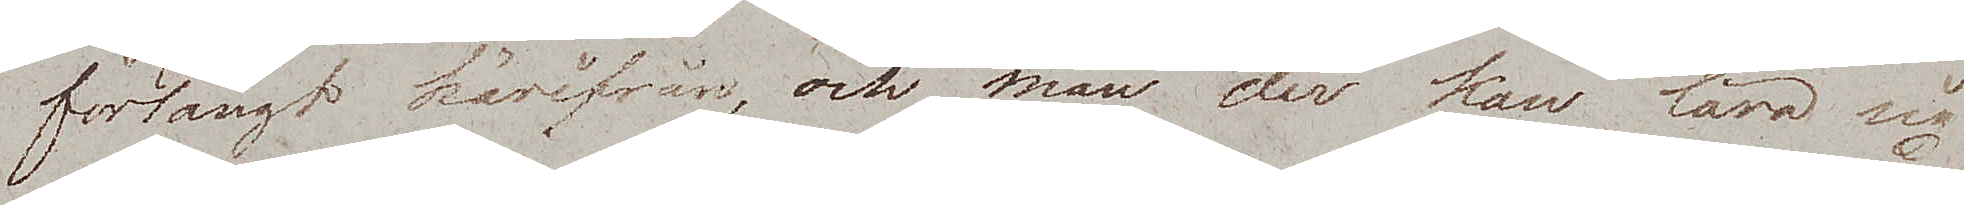förlångt härifrån, och man der kan lära sig
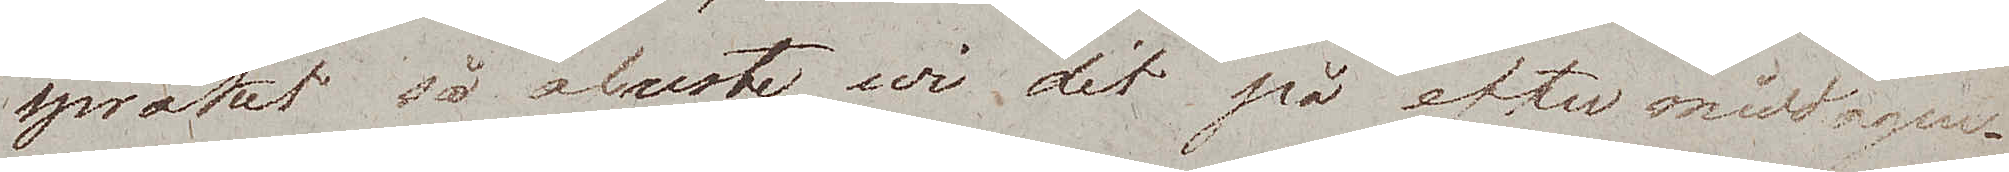språket så afreste wi dit på eftermiddagen.
